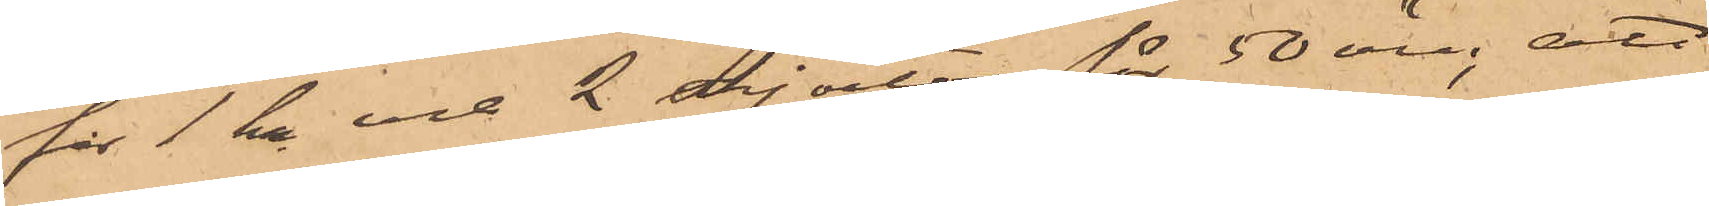för 1 kr och 2 skjortor för 50 öre; att
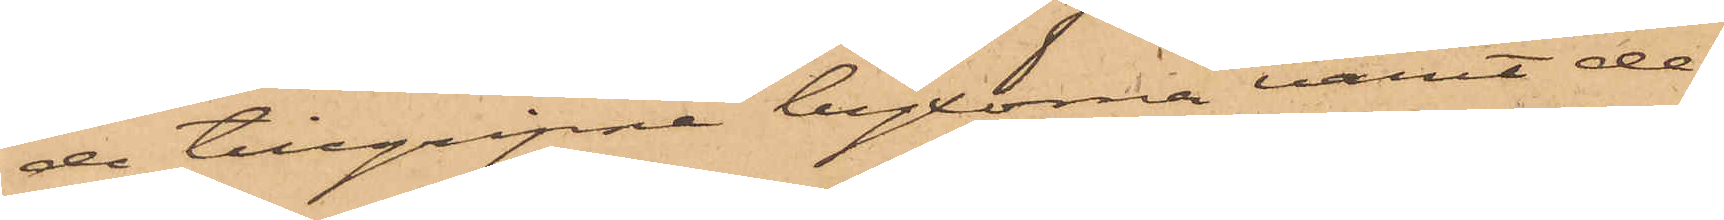de tillgripne byxorna varit de¬
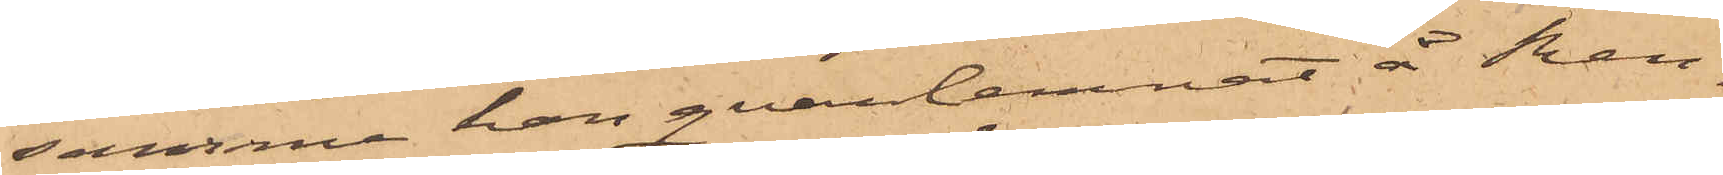samma han qvarlemnat å Ren¬
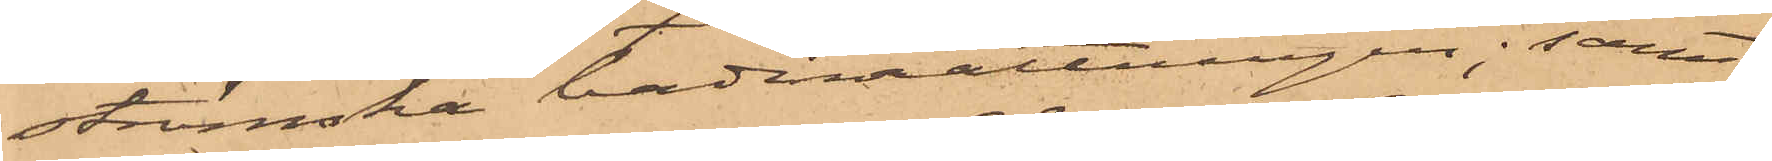strömska badinrättningen; samt
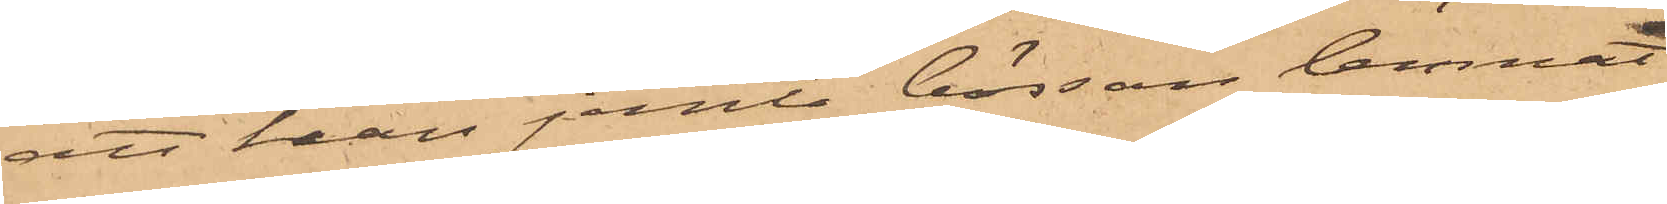att han jemte bössan lemnat
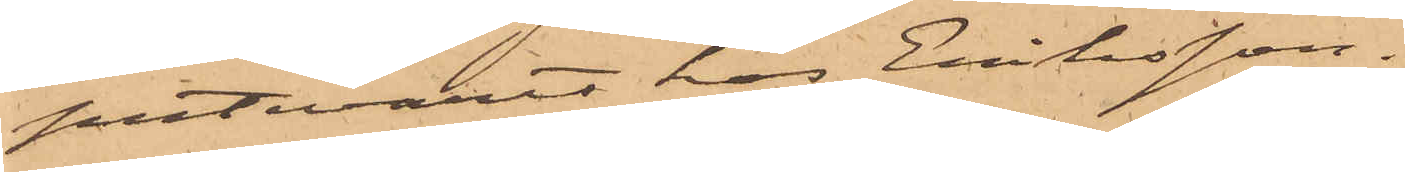putevaret hos Eriksson.
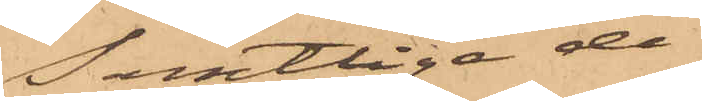Samtlige de
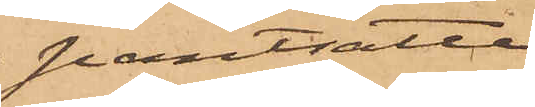pantsatte
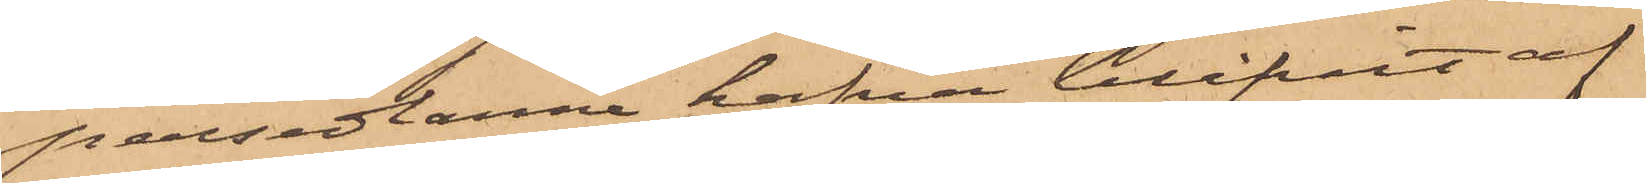persedlarne hafva blifvit af
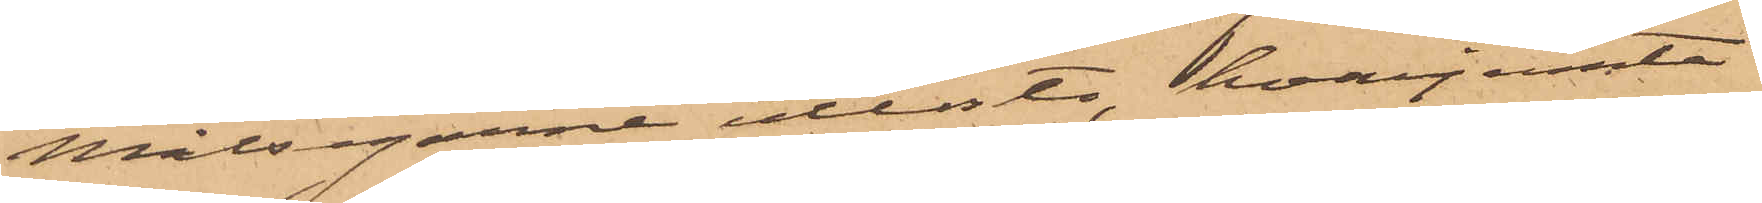Målsegarne utlöste hvarjemte
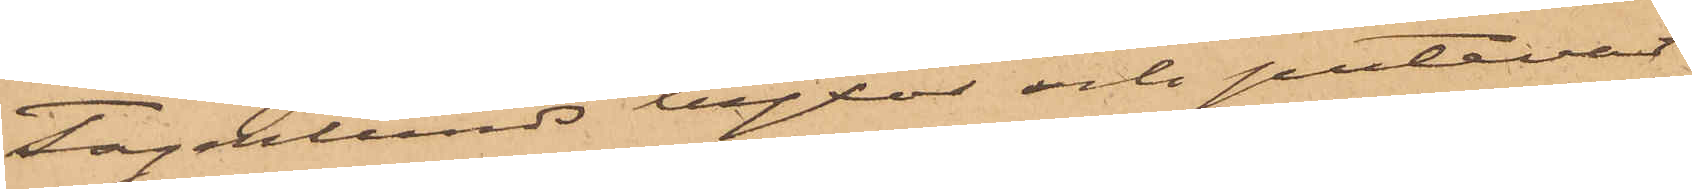Fagerlunds byxor och putevaret
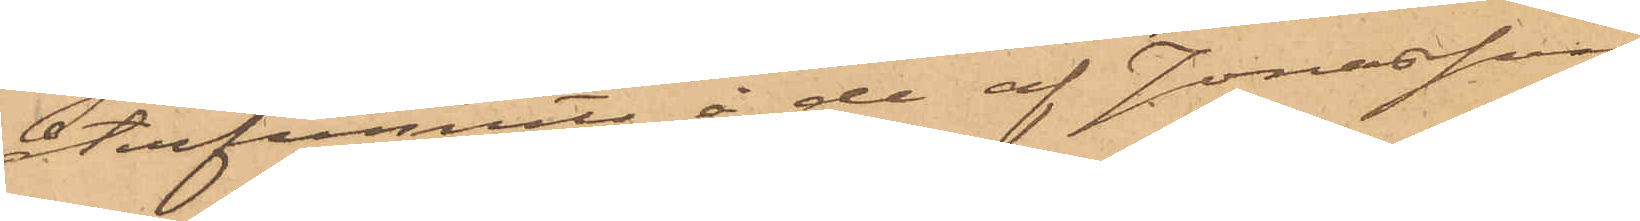återfunnits å de af Jonasson
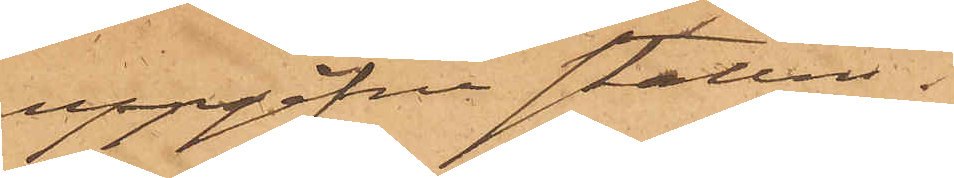uppgifna ställen.
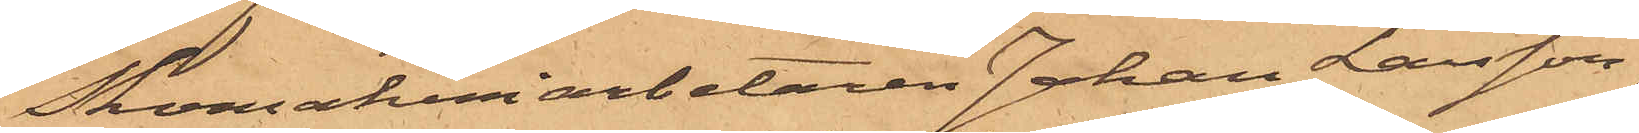Skomakeriarbetaren Johan Larsson
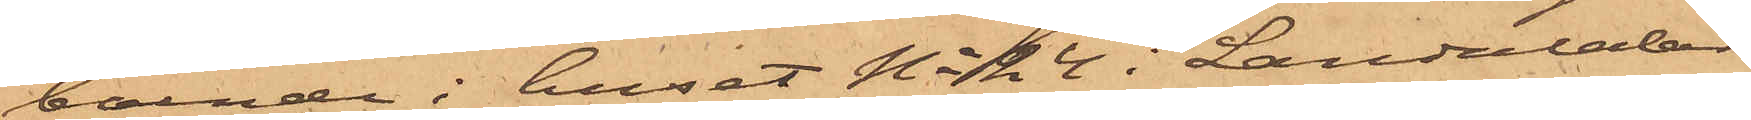boende i huset No 24 i Landalabe¬
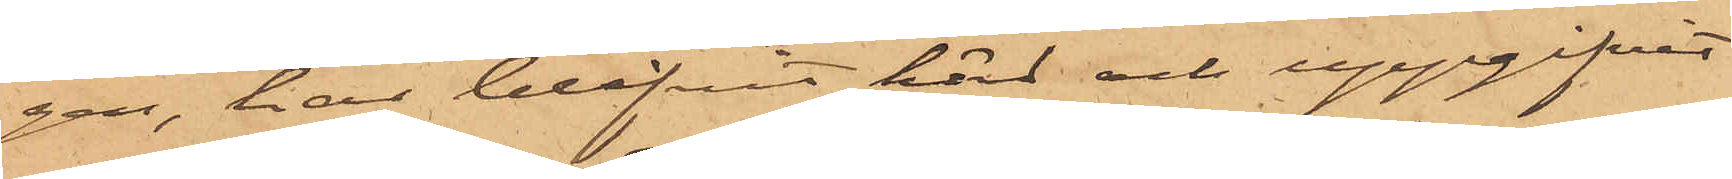gen, har blifvit hört och uppgifvit
